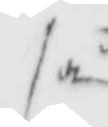så
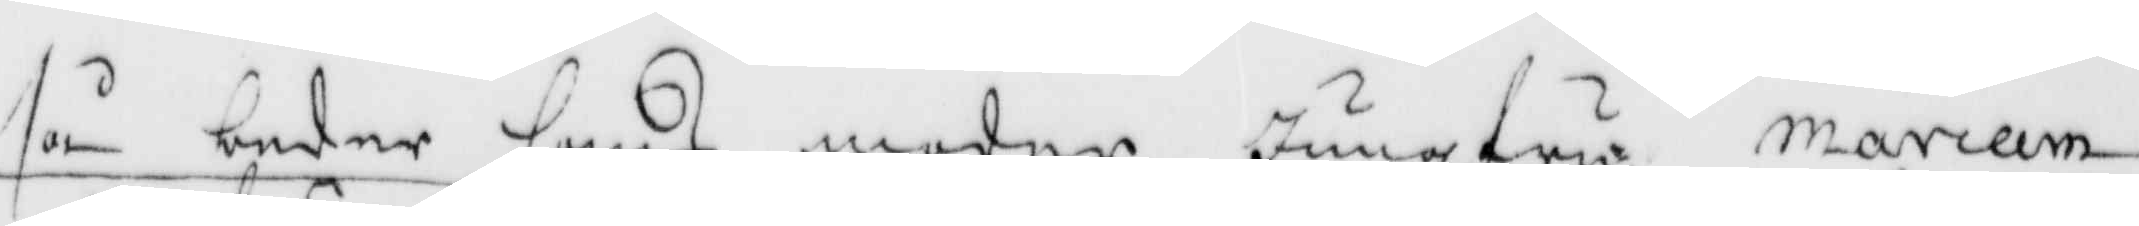så beder hans moder jungfru mariam
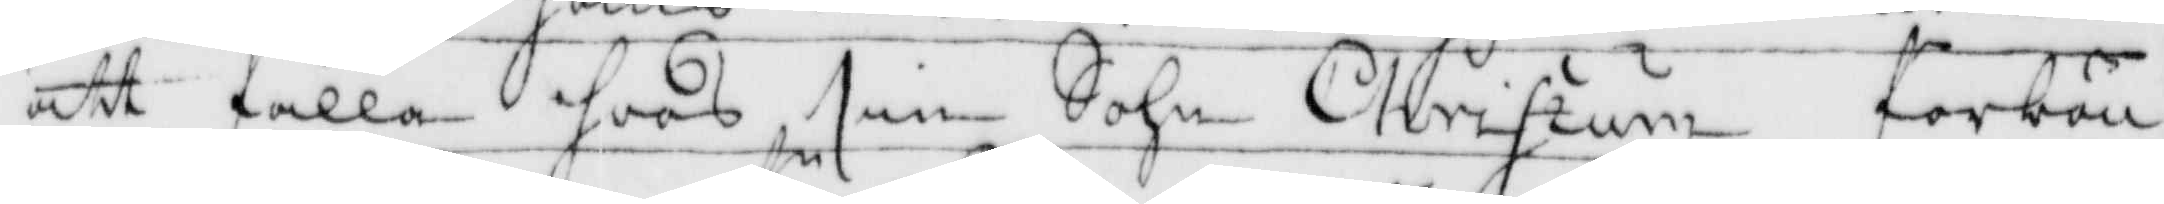att fälla hoos sin Sohn Christum förbön
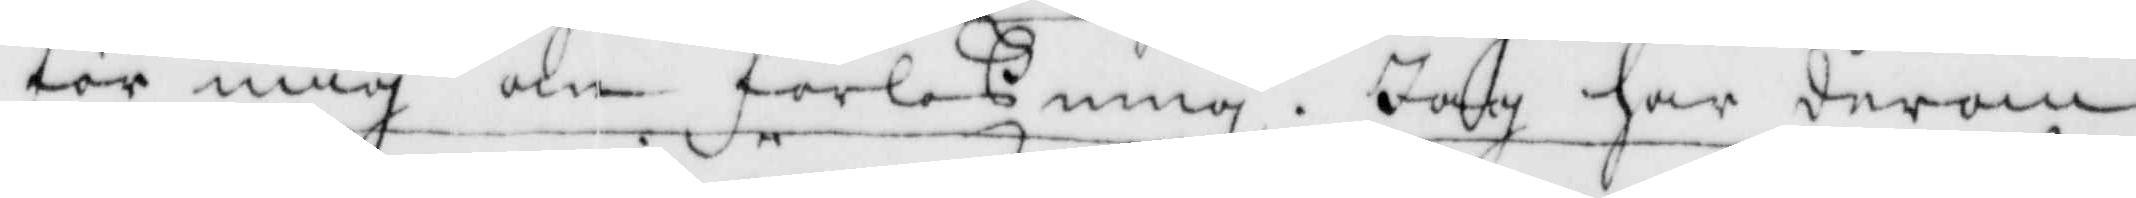för mig om förloßning. Jag har derom
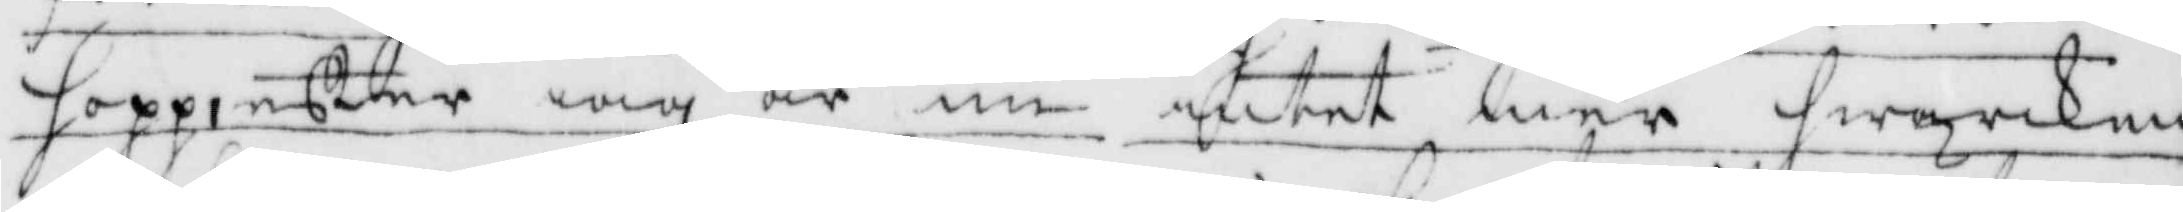hopp, efter iag är nu intet mer hwarken
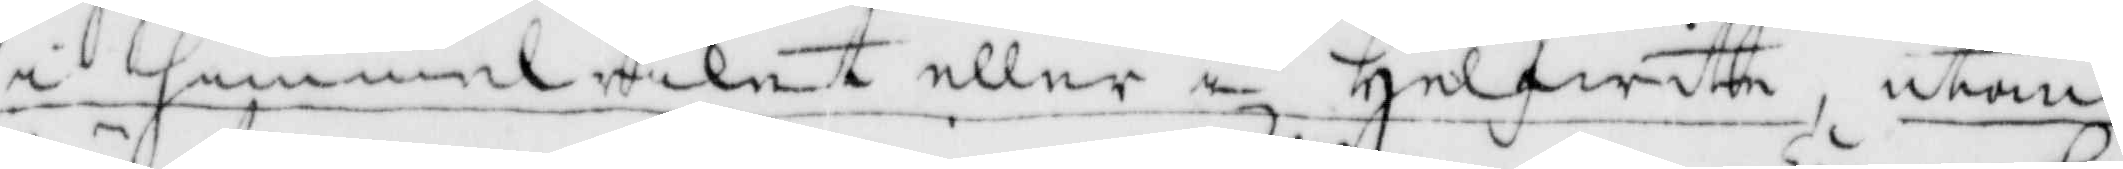i himmelriket eller i helfwitte, utan
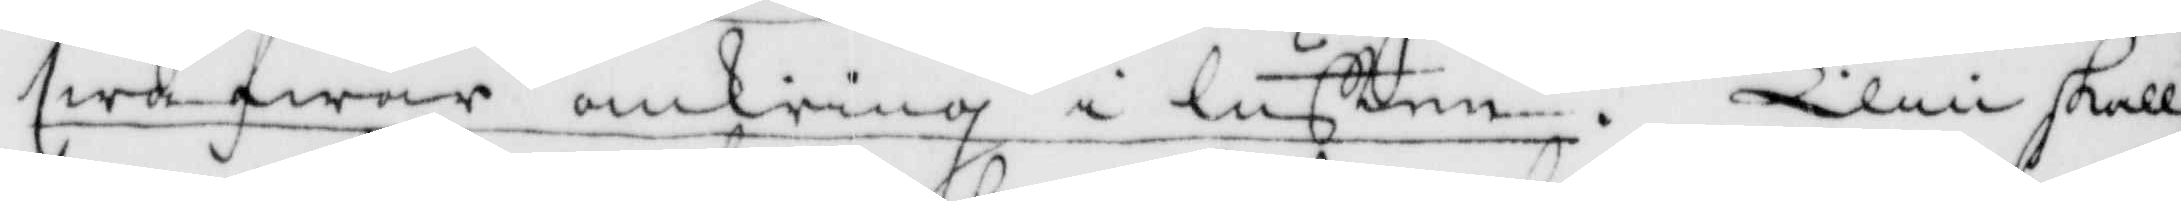swäfwar omkring i luften. Elin skall
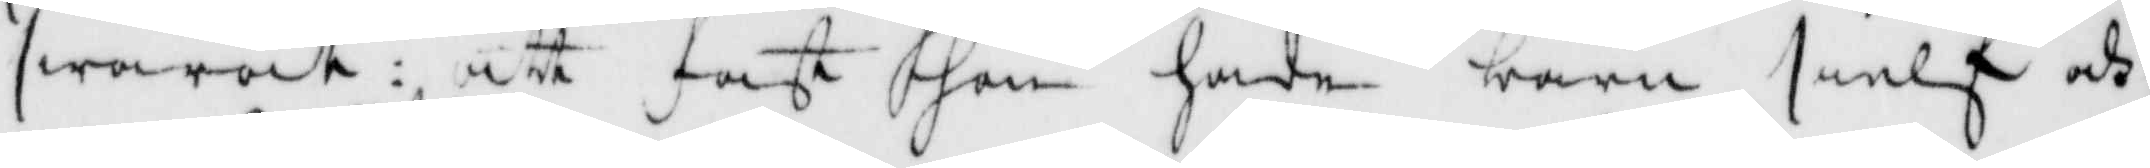swarat: att fast hon hade sielf och
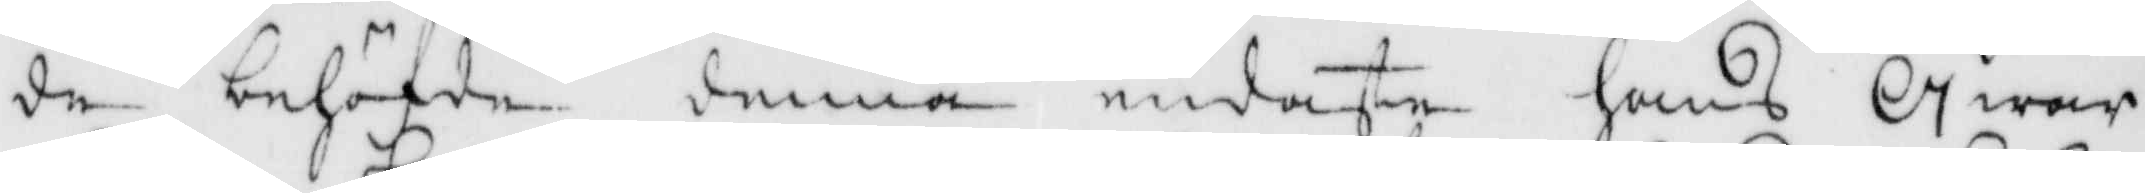de behöfde denna endaste hans qwar¬
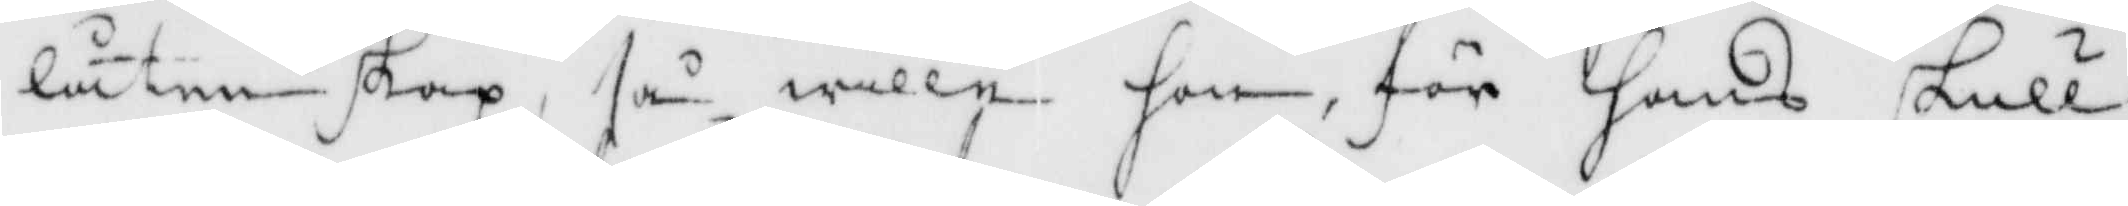låtenskap, så wille hon för hans skull
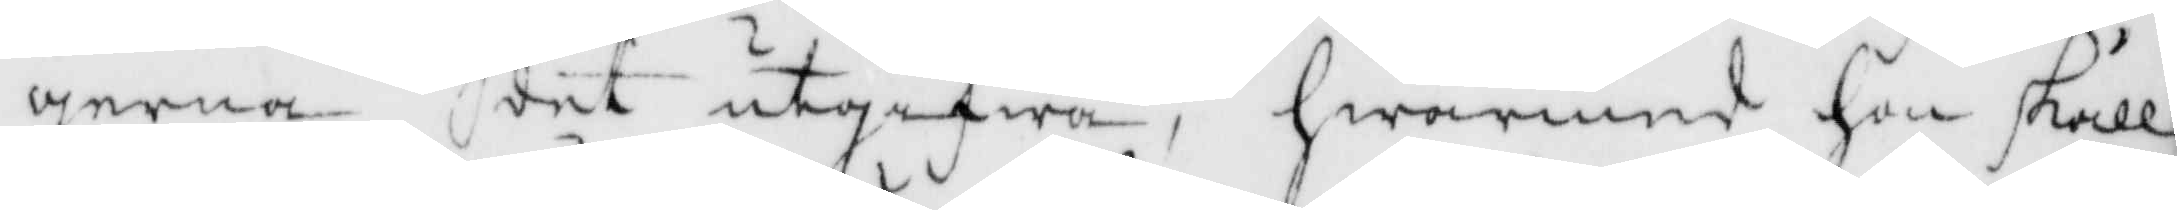gerna det utgifwa, hwarmed hon skall
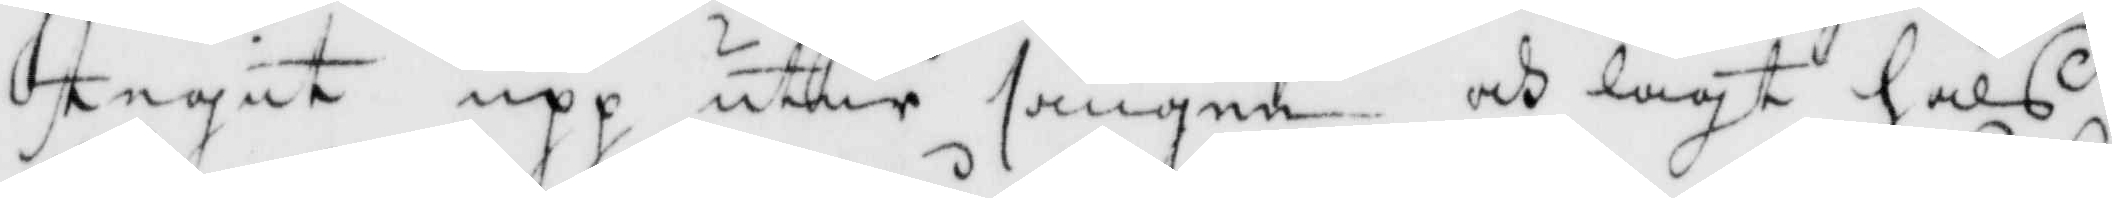stigit upp utur sängen och lagt hals¬
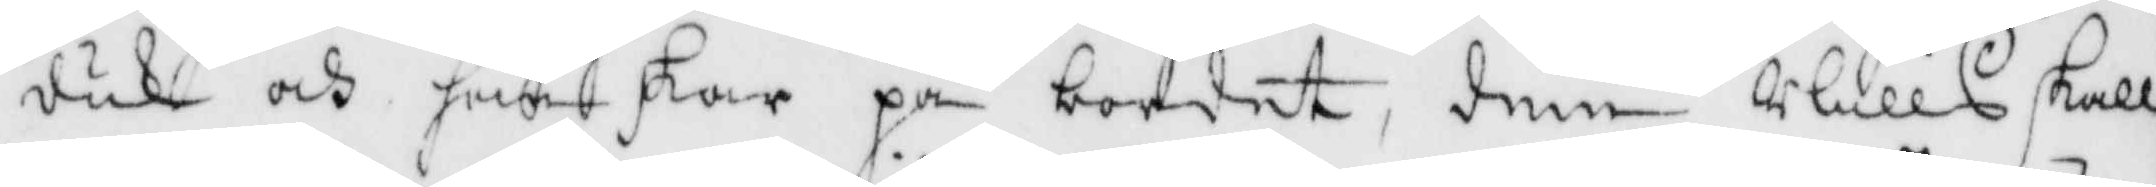duk och hanskar på bordet, dem Nills skaöö
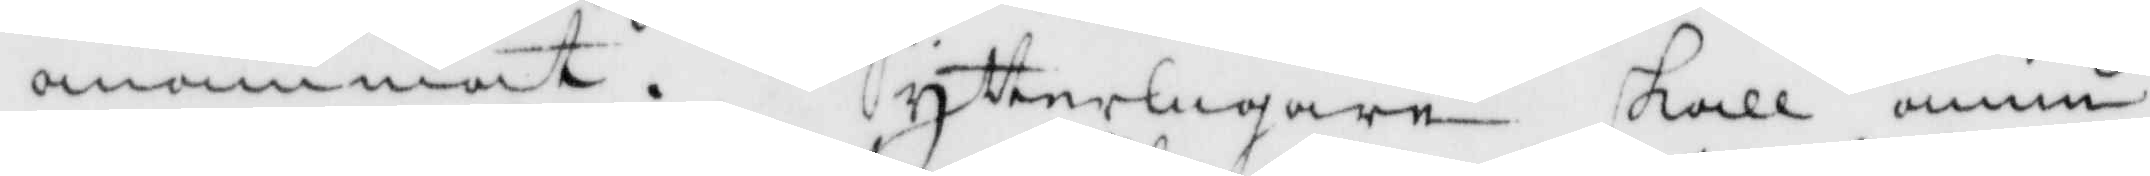anammat. Ytterligare skall ännu
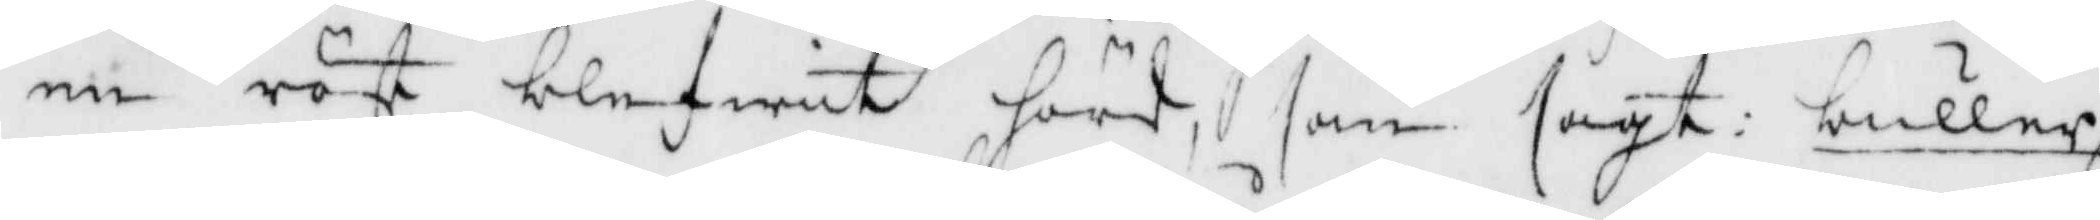en röst blefwit hörd, som sagt: buller
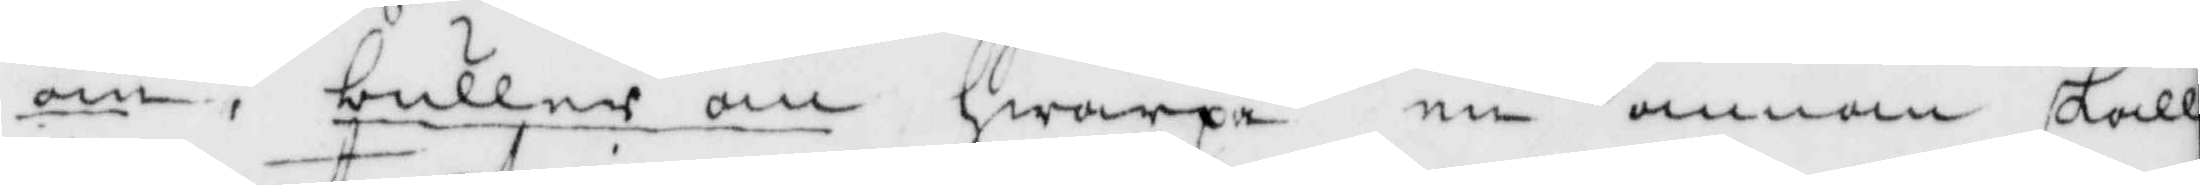om, buller om, hwarpå en annan skall
